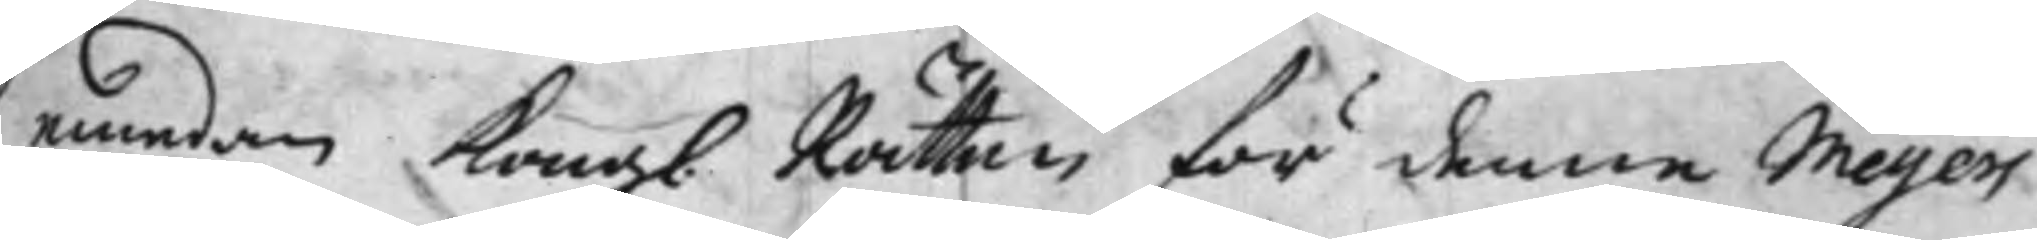emedan Kongl. Rätten för denne Meyers
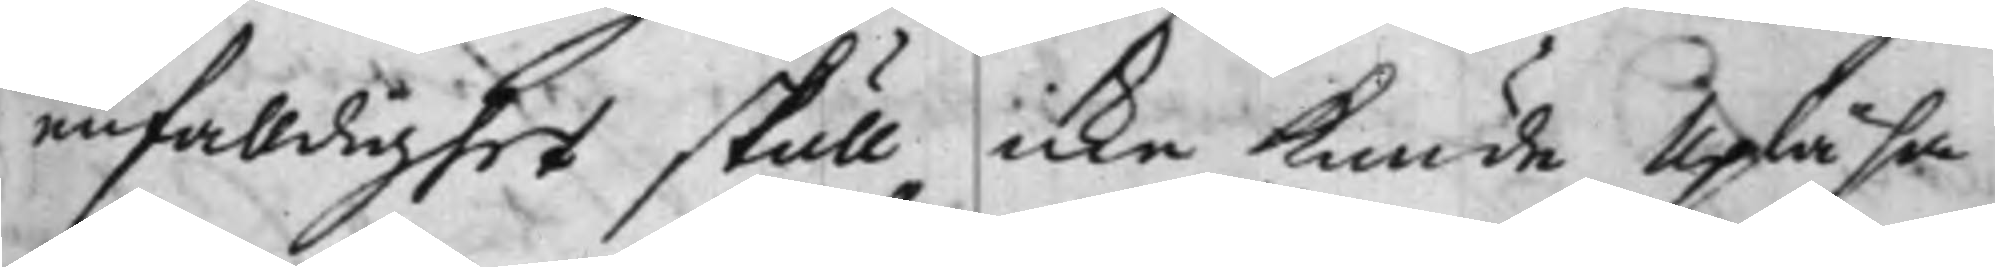enfalldighet skull icke kunde upläsa
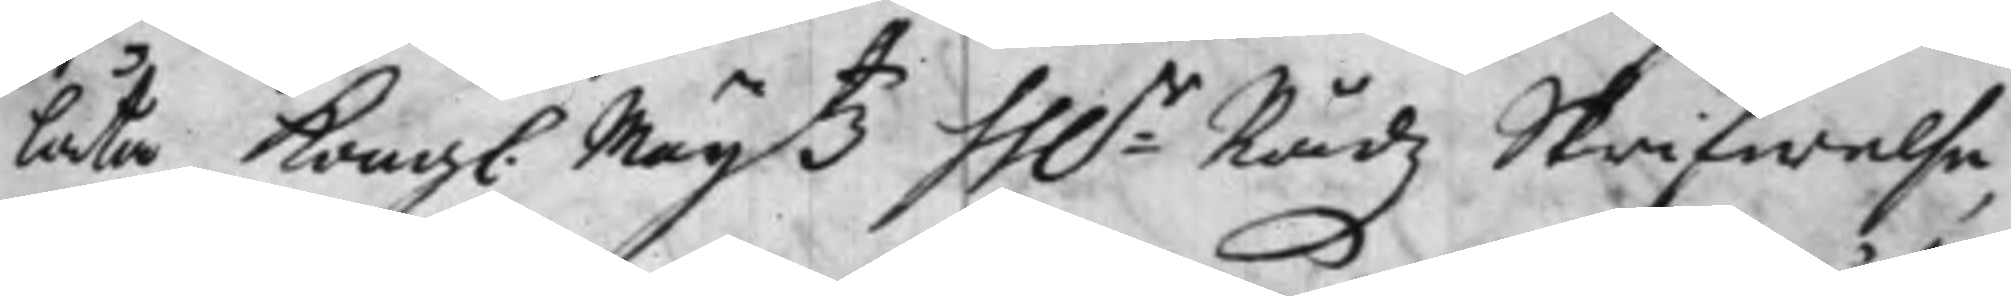låta Kongl. Maijtz hh.r Rådz Skrifwelse
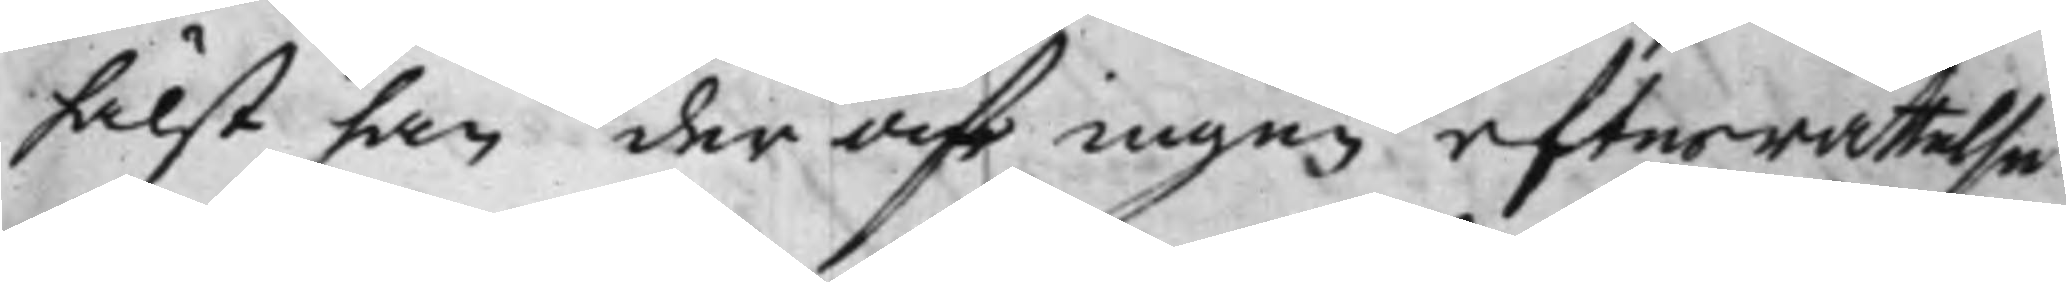hälst han der af ingen efterrättelse
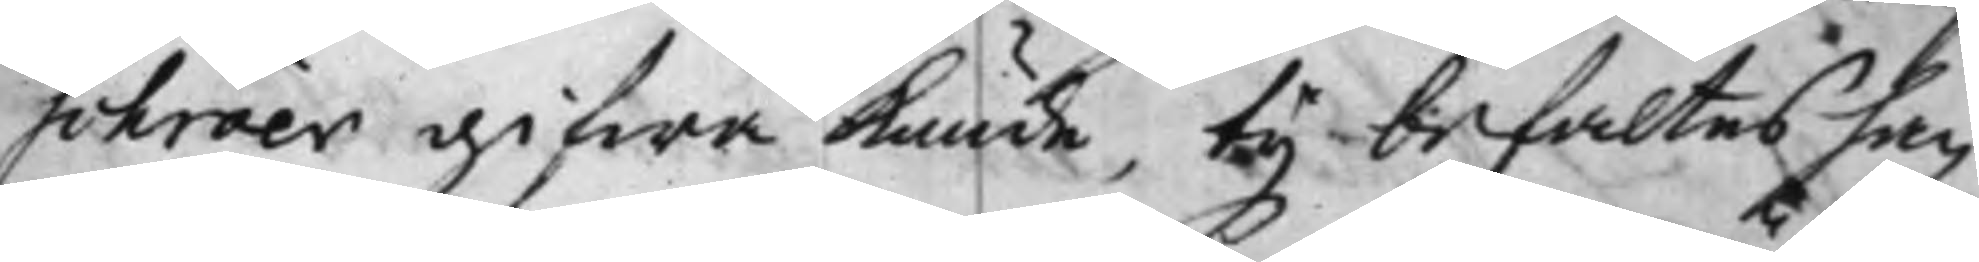schröer gifwa kunde, ty befaltes han
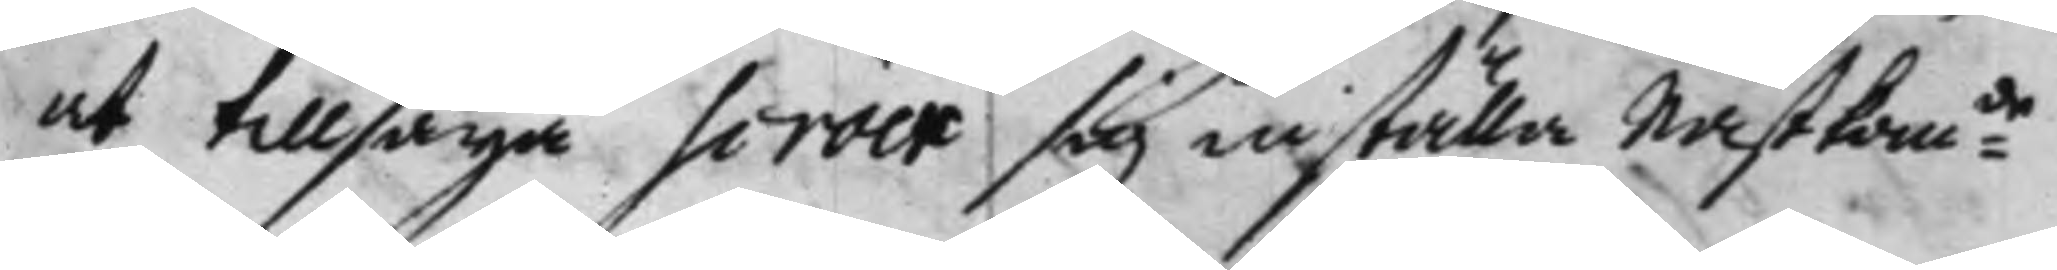at tillsäga scröer sig inställa Nästkomde
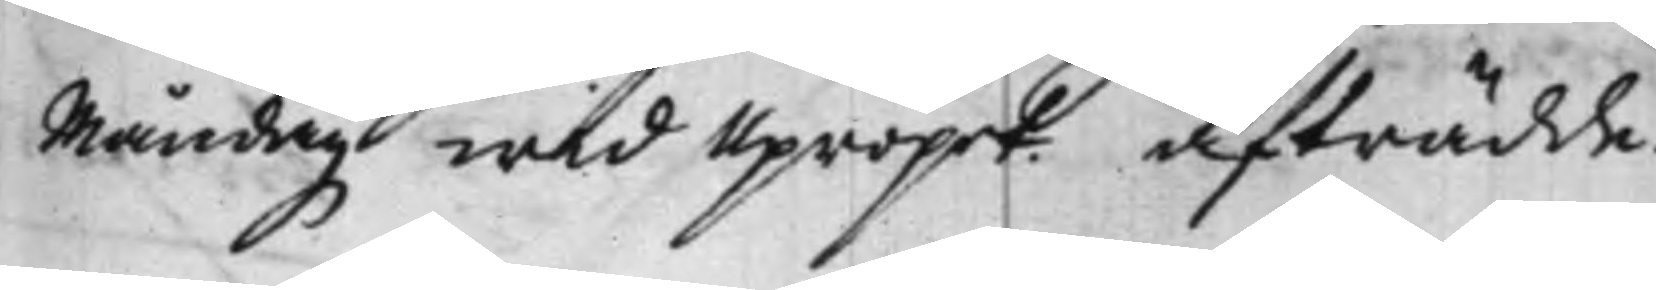Måndag wid Upropet. afträdde.
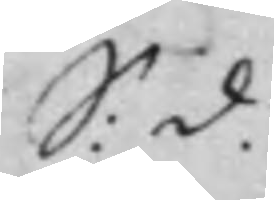S: d.
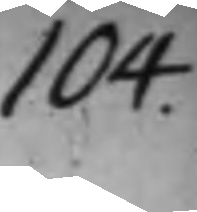104
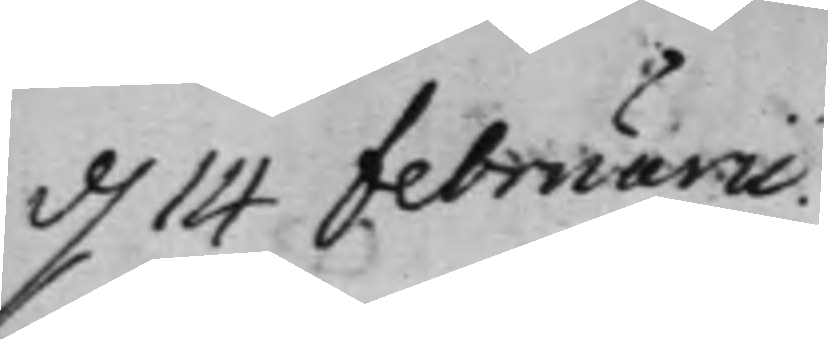d. 14 februarii.
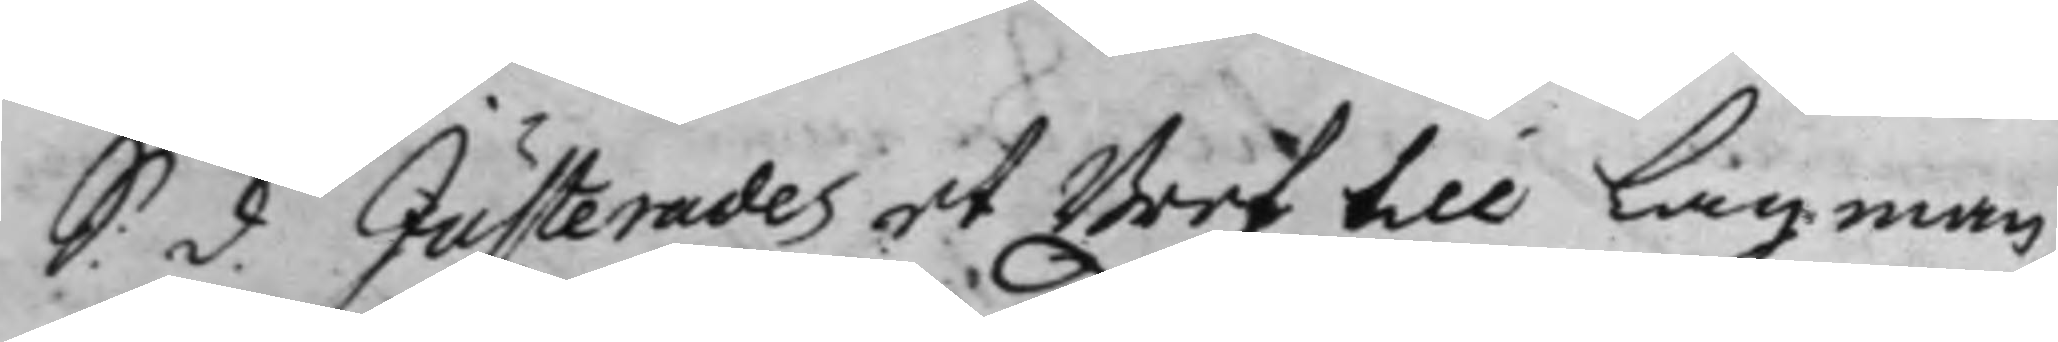S: d. Justerades et Bref till Lagman¬
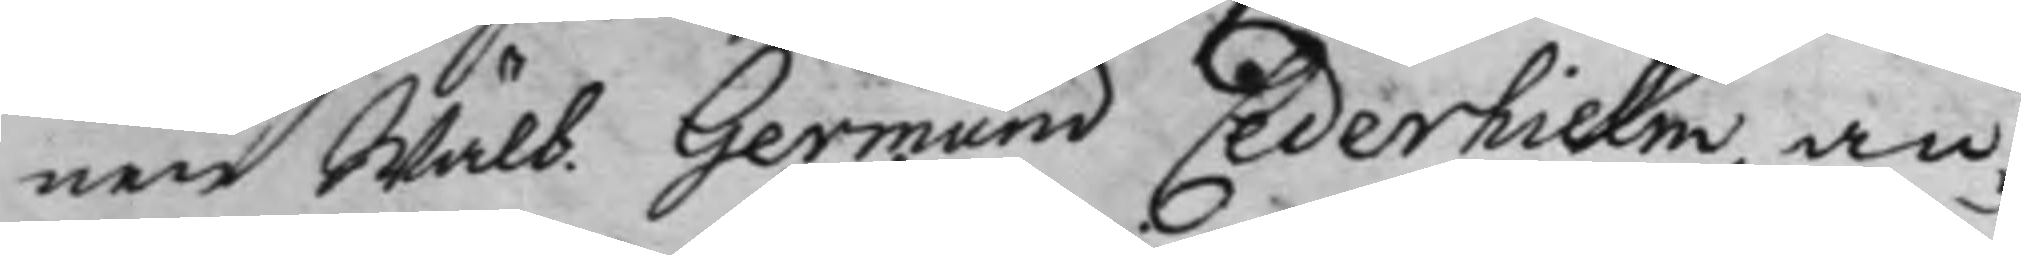nen Wälb. Germund Cederhielm, an¬
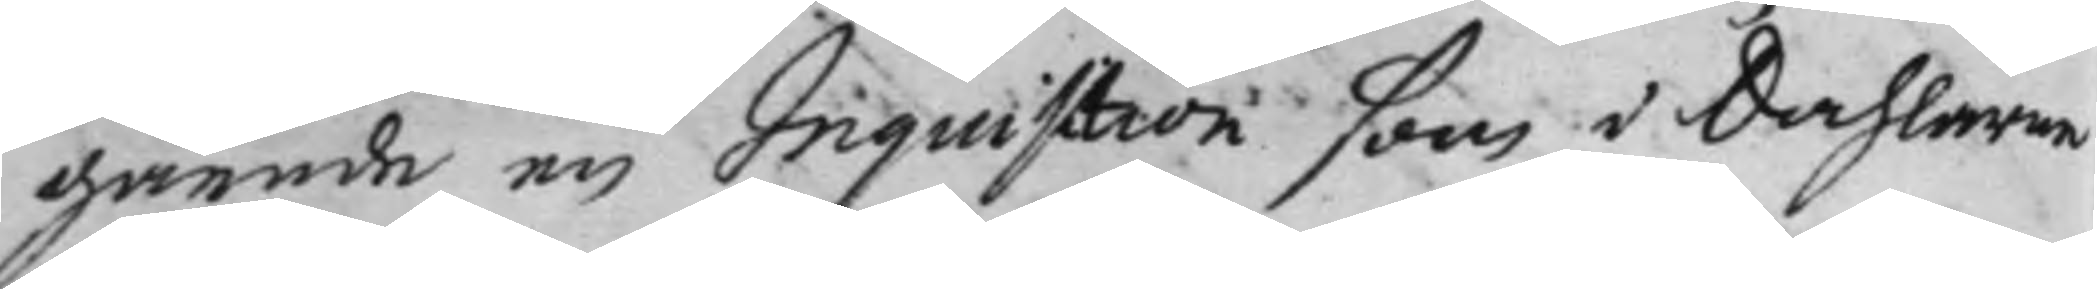gående en Inquisition som i Dahlarne
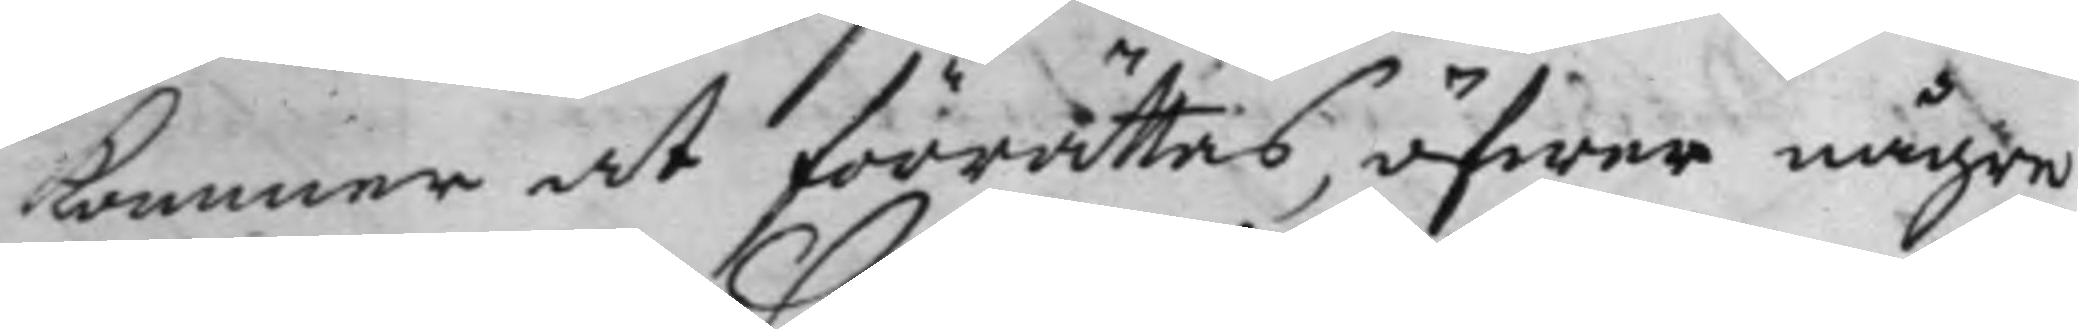kommer at förrättas, öfwer någre
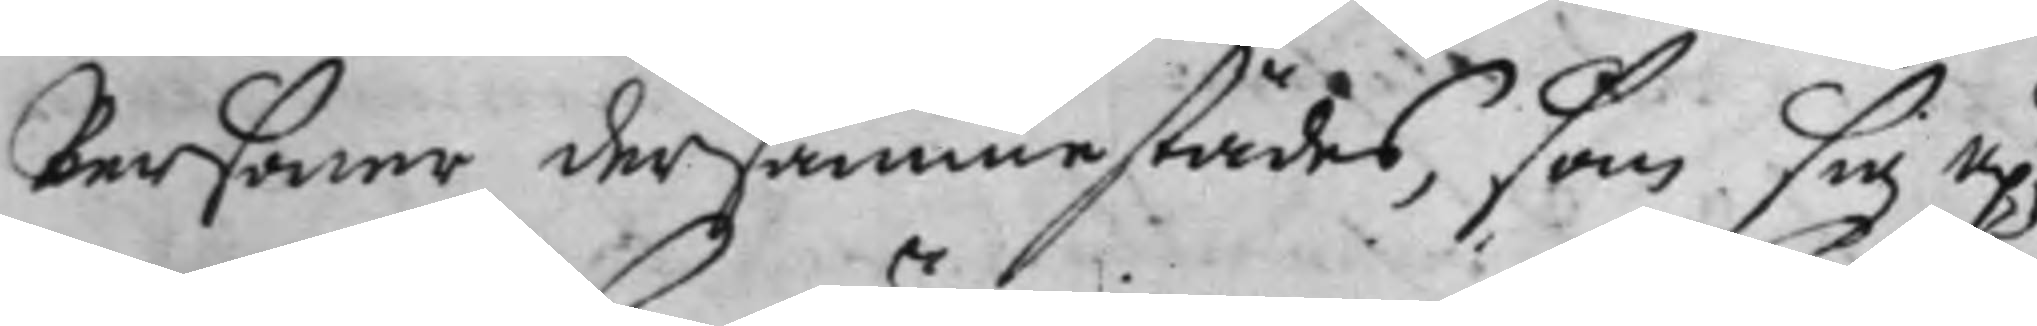Personer dersammestädes, som sig up¬
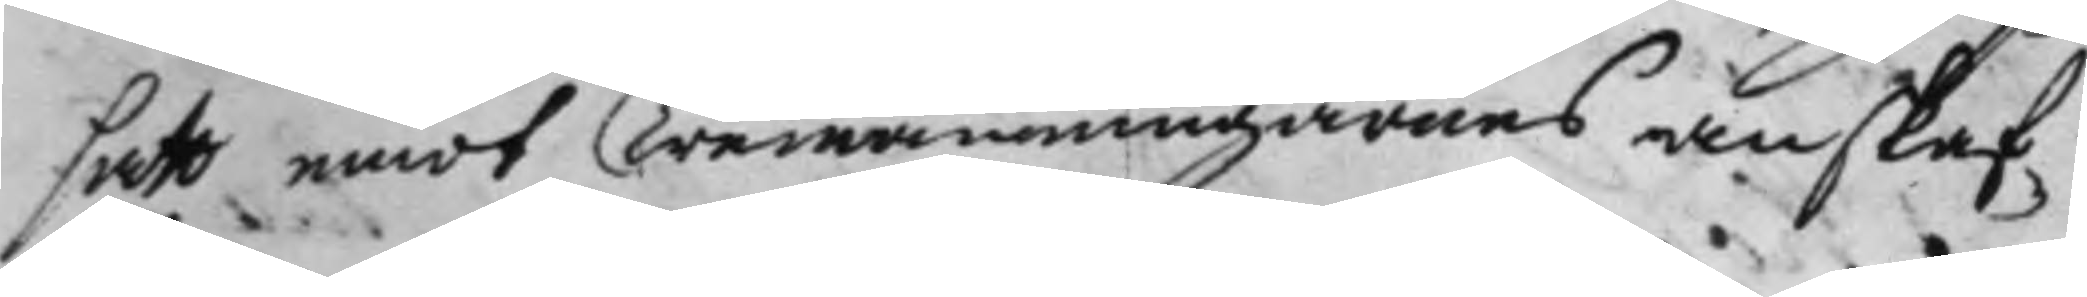satt emot Tremänningarnes anskaf¬
